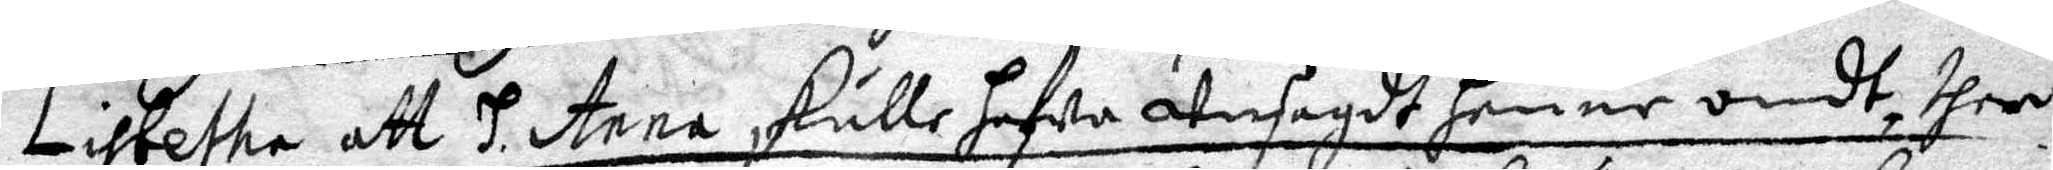Lisbetha att H.Anna skulle hafwa Unsagdt henne ondt, ther 
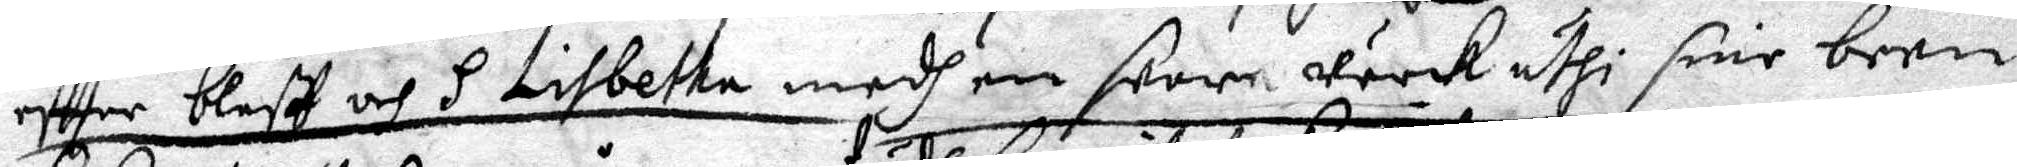effter bleff och H Lisbetha medh en swor wärk uthi sine been
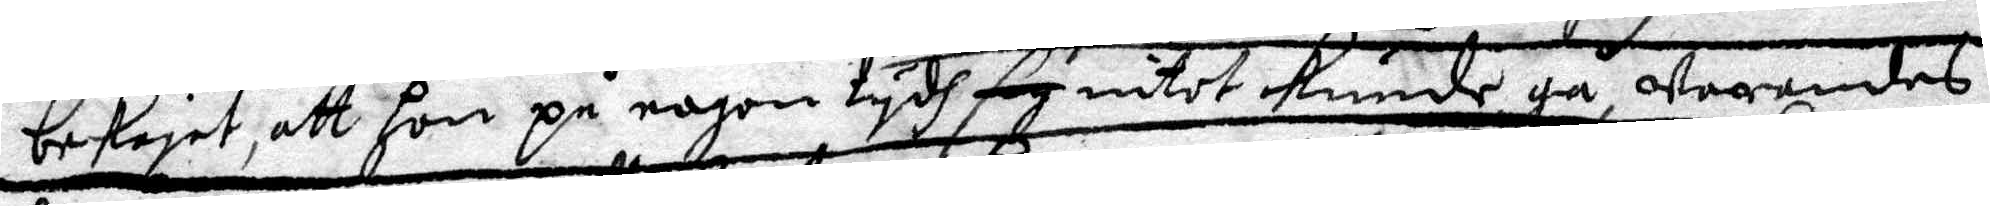bekagit att hon på nogon tydh sig intet kunde gå, warandes
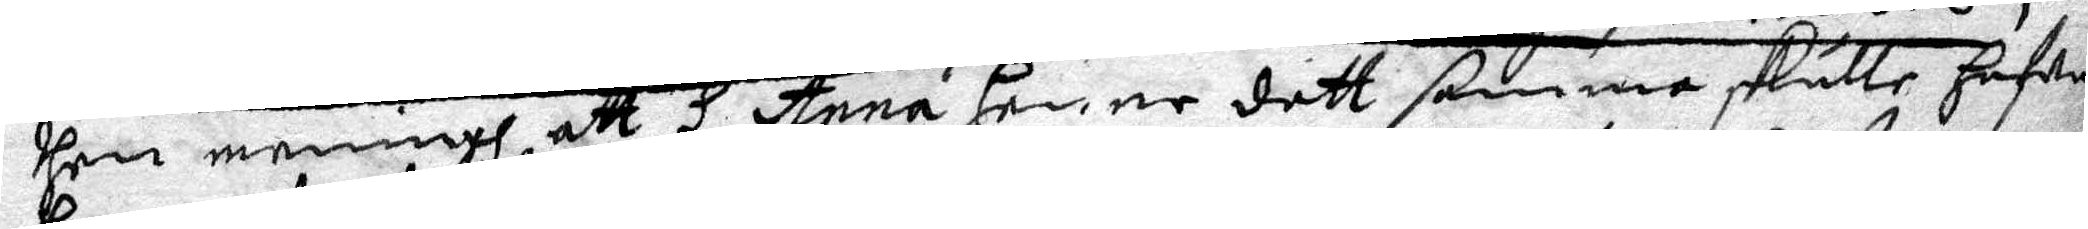dhen meningh, att H Anna henne dett samma skulle hafwa
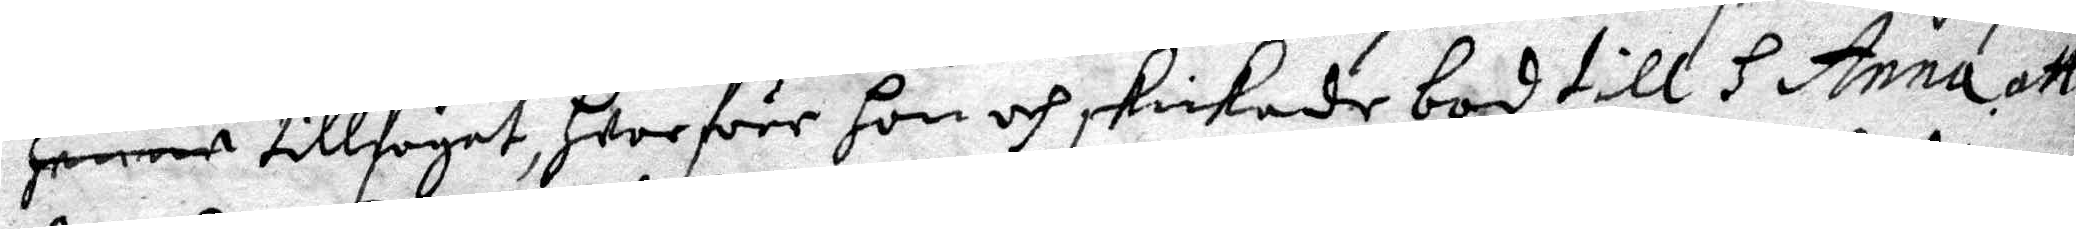henne tillfogat, hwarföre hon och skickade bod till H Anna att 
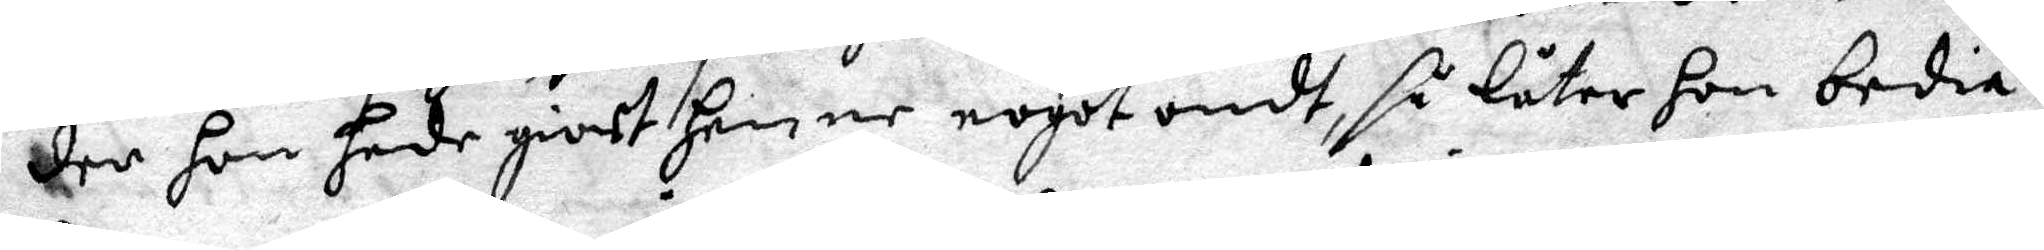der hon hade giort henne nogot ondt, så låter hon bedia
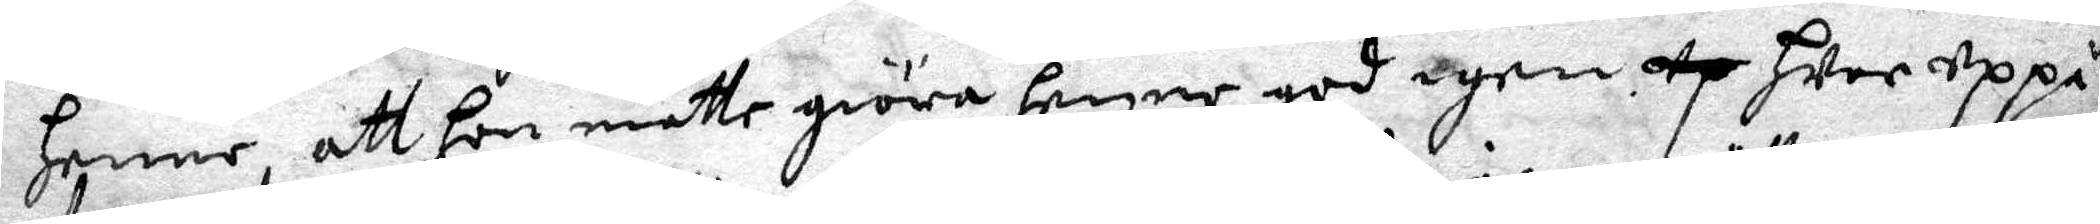henne, att hon måtte giöra henne god igen up hwar uppå
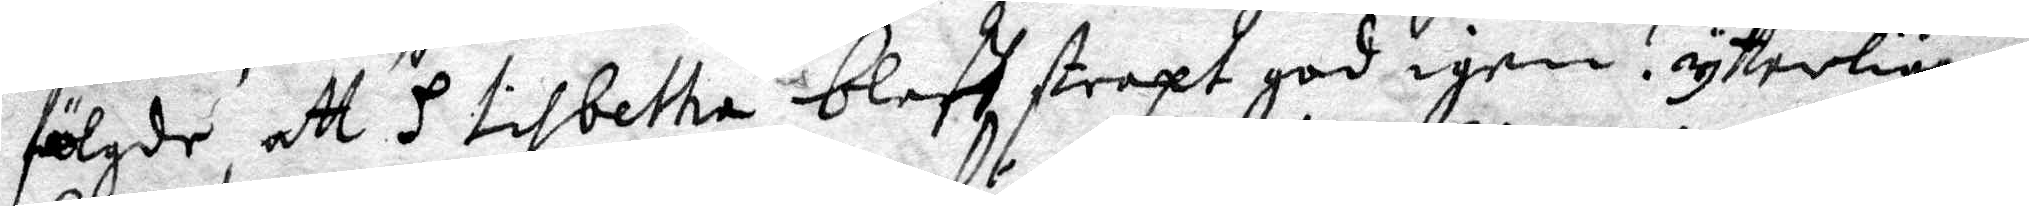fölgde att H Lisbetha bleff straxt god igen. ytterligare
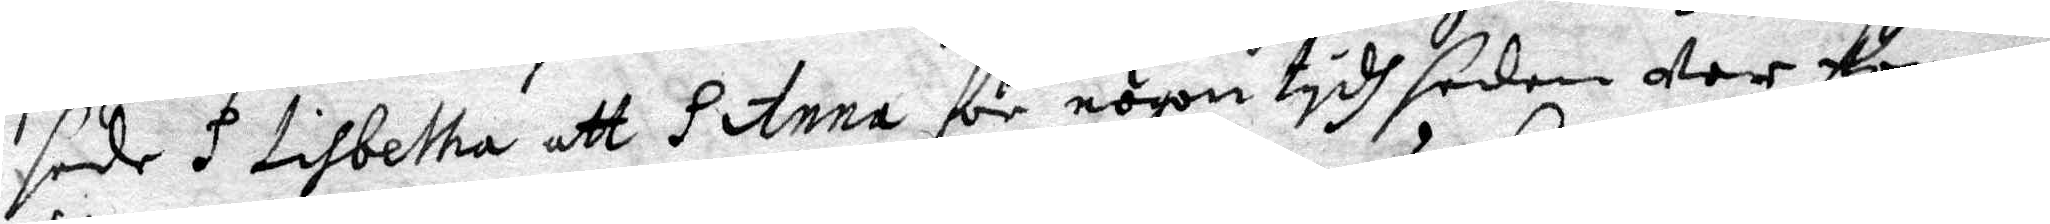sade H Lisbetha att H Anna för någon tydh sedan wer kommen
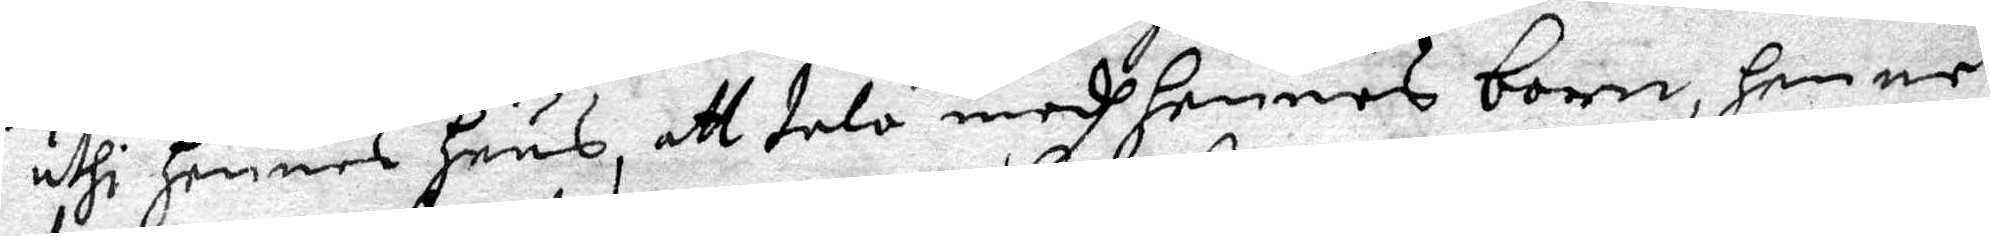uthi hennes huus, att tala medh hennes barn, henne
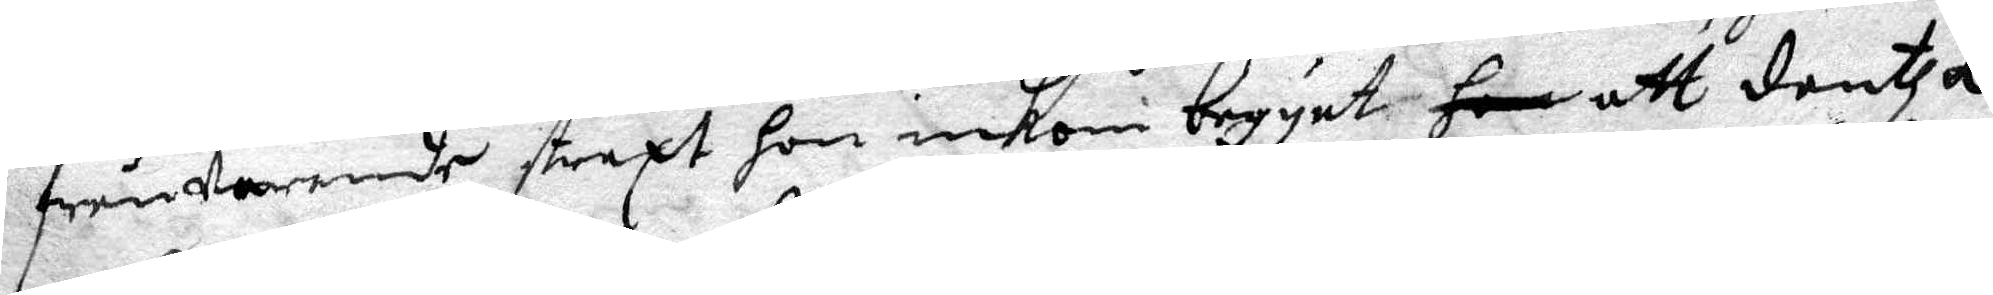frånwarande straxt hon inkom begynt hon att dantza
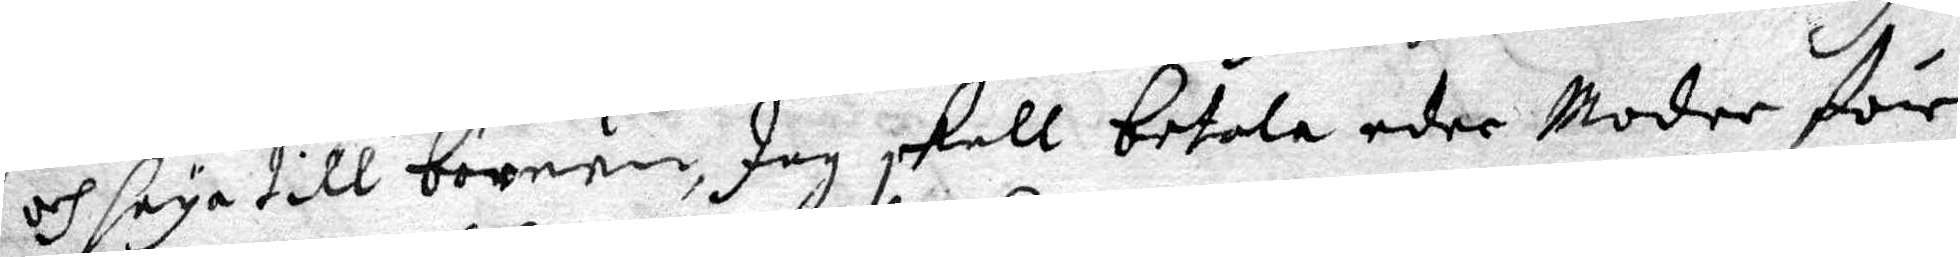och säya till barnen, Jag skall betala eder Moder för
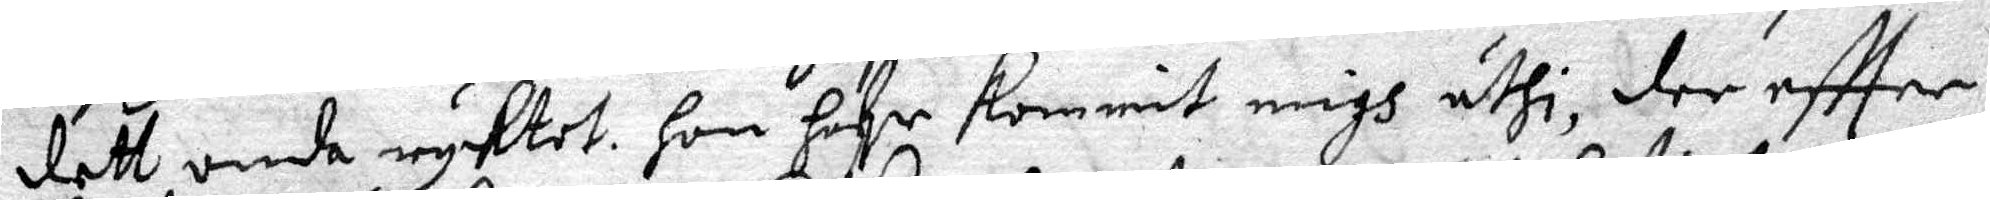dett onda ryktet. hon hafr kommit migh uthi, der eftter
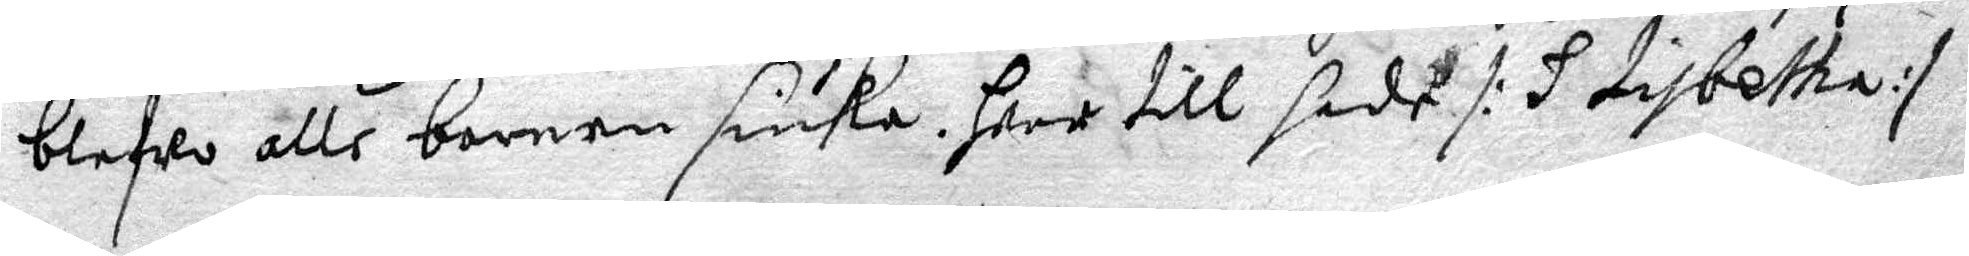blefwo alle barnen siuka. hwar till sade /: H  Lisbetha:/
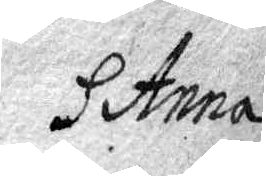H Anna
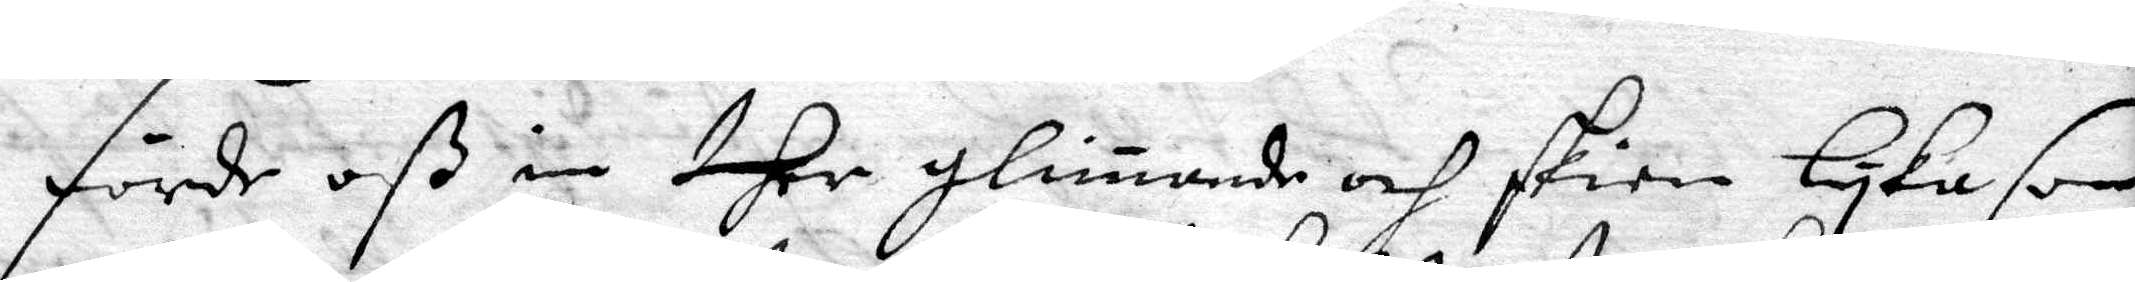förde oß in ther glimande och skien lyka som
